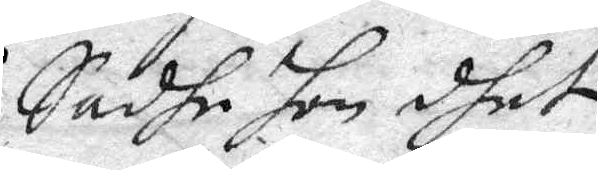Sadhe hon dhet
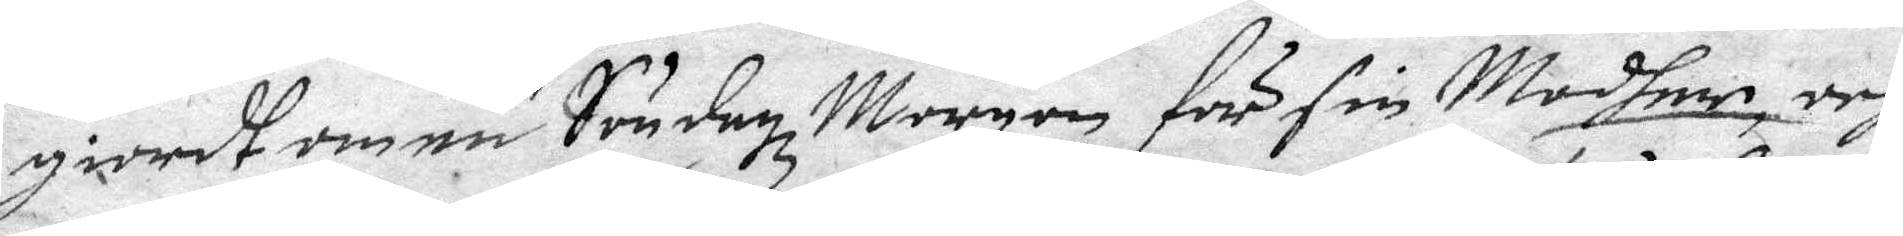giordt om en Söndagz Morgon för sin Modher, och
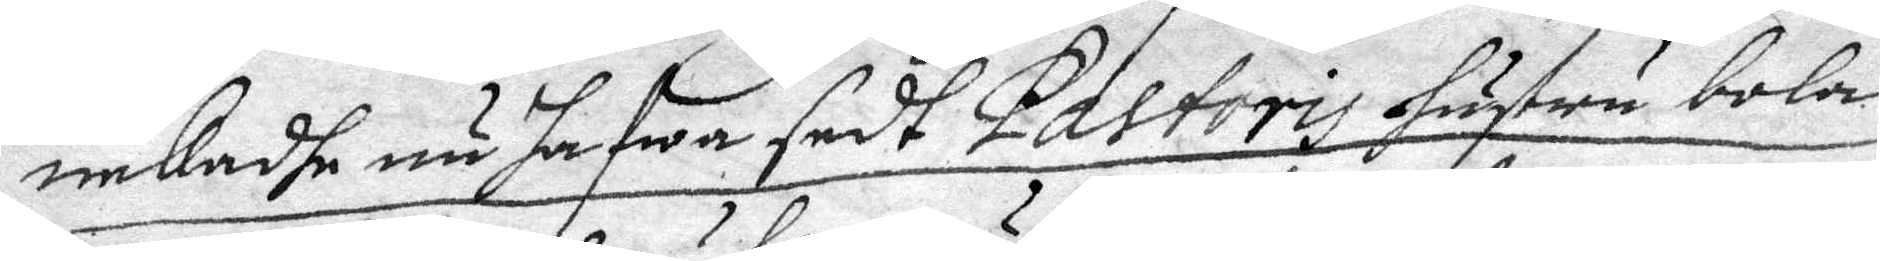nekadhe nu hafwa sedt Pastoris hustru bola
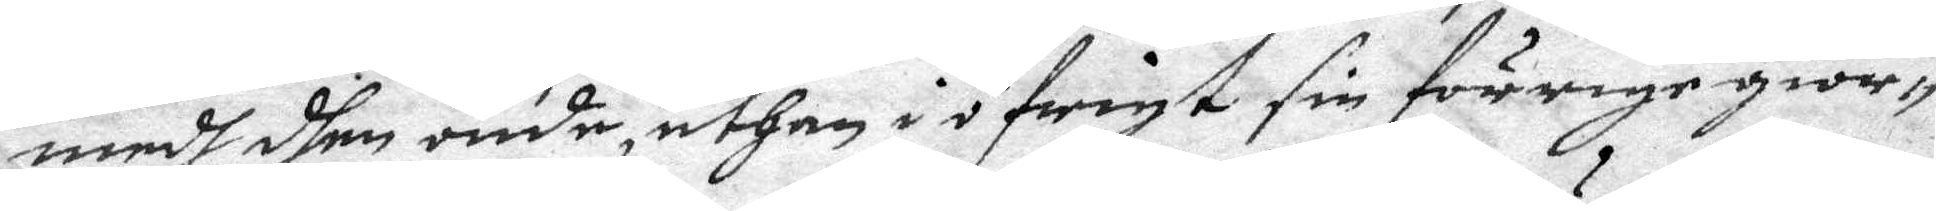medh dhen onde, uthan i öfrigt sin förrige gior¬
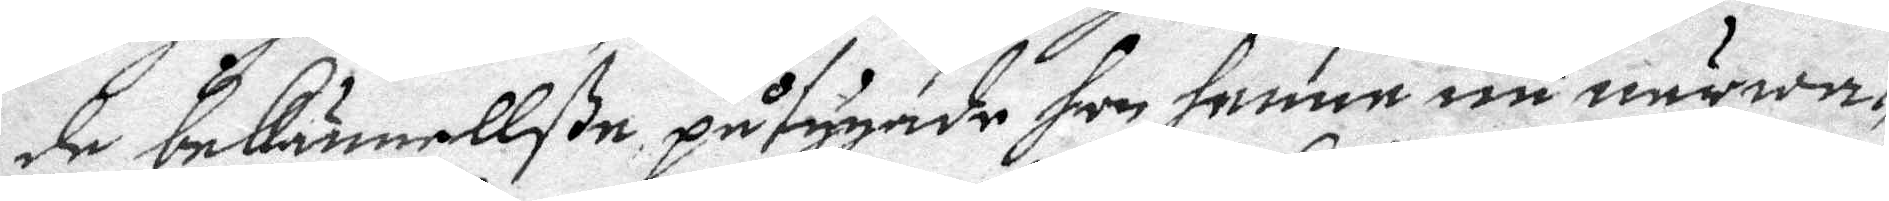de bekännellße påtygande hon henne nu närwa¬
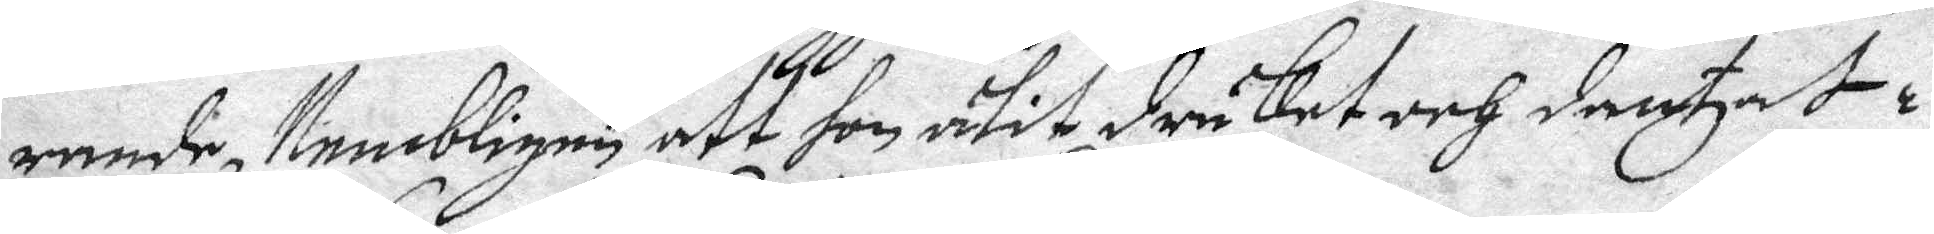rande, Nembligen att hon ätit druket och dantzat i
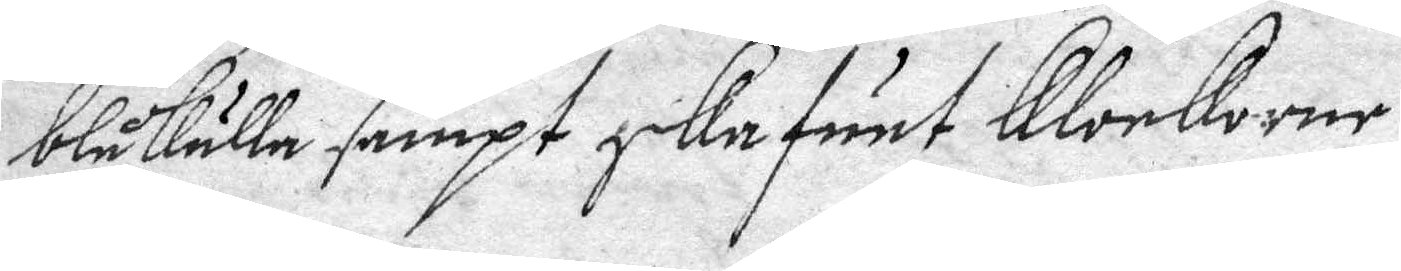blåkulla sampt ska funt klockorne.
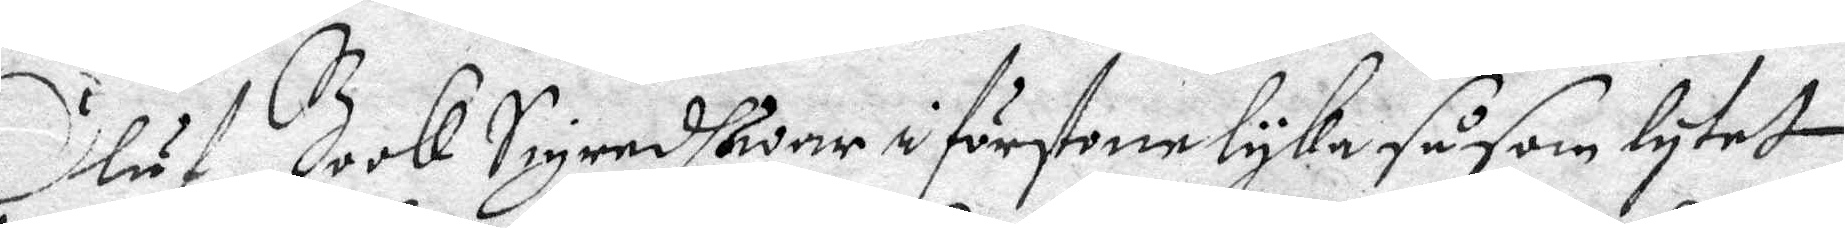Oluf Book Sigredh war i förstone lyka såsom lytet
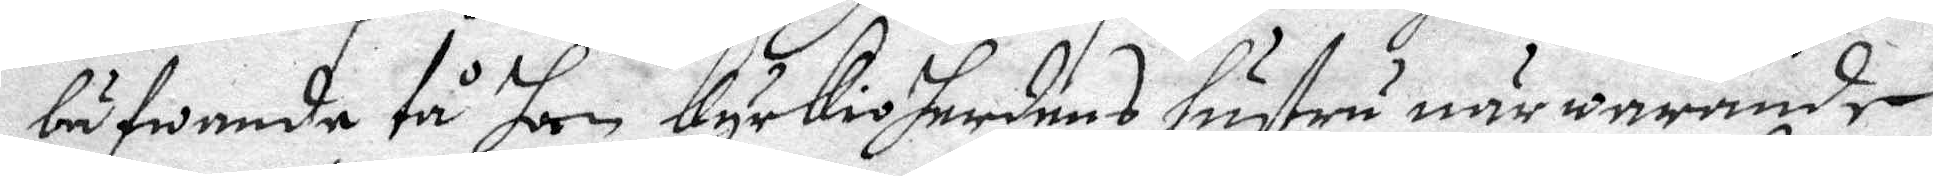bäfwande tå hon kyrkioherdens hustru närwarande
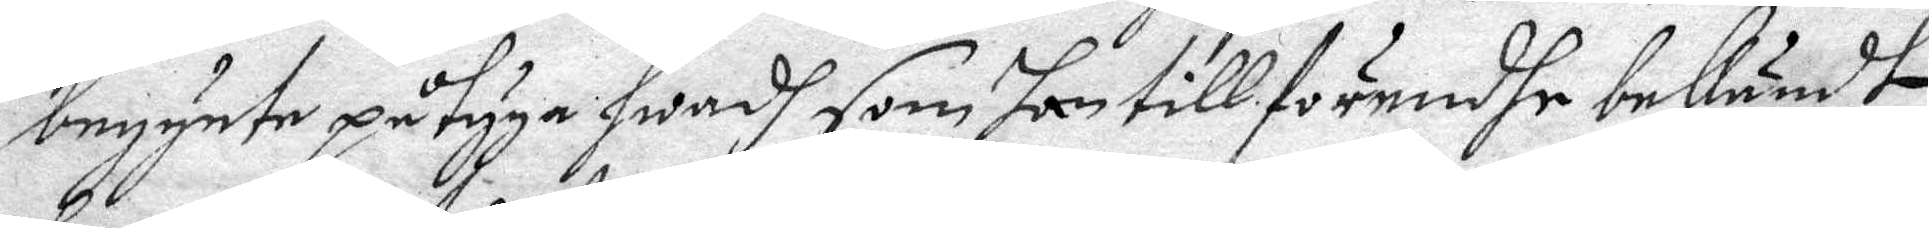begynte påtyga hwad som tillförendhe bekändt
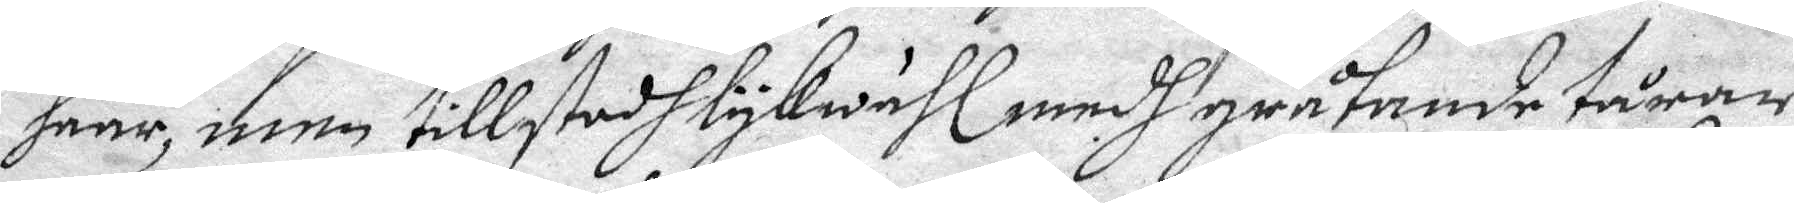haar, men tillstodh lykwähl medh gråtande tårar
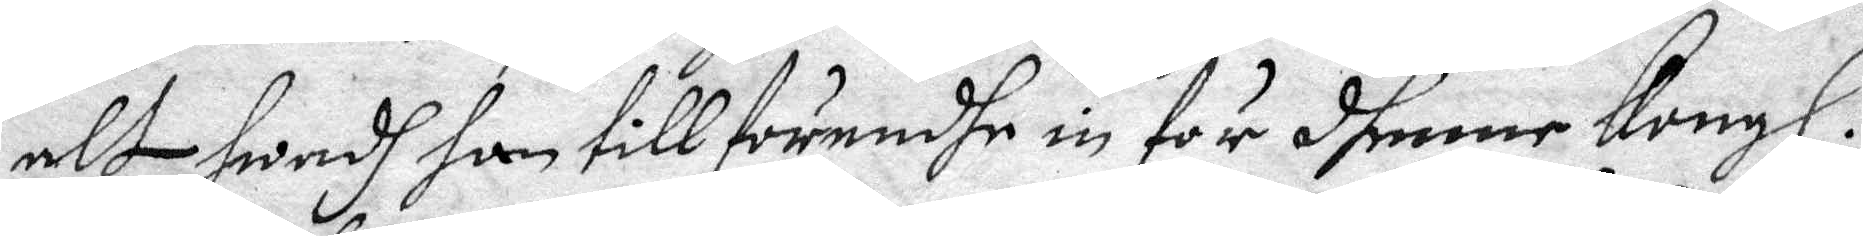alt hwad han tillförendhe in för dhenne Kongl.
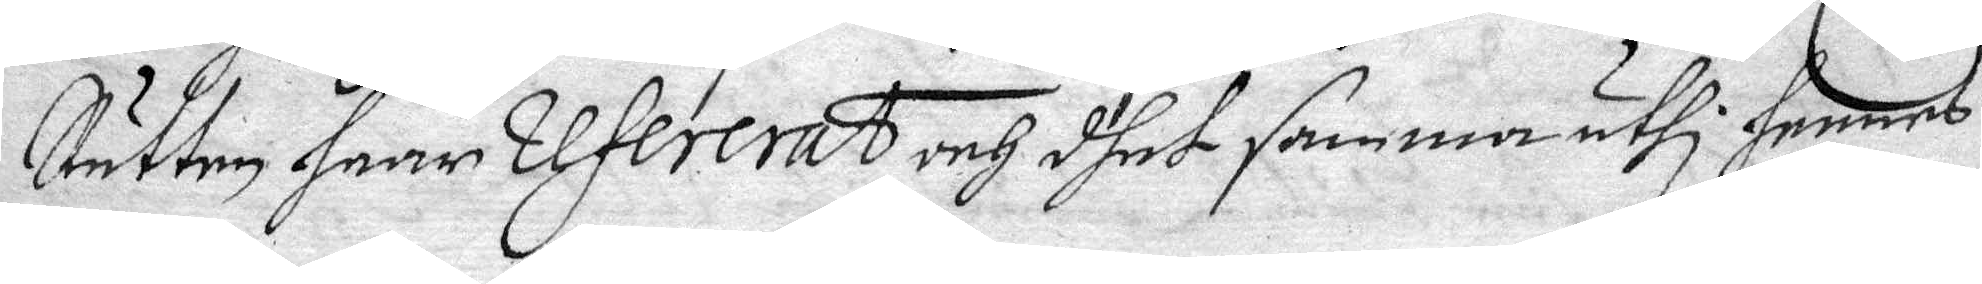Rätten haar refererat och dhet samma uthi hennes
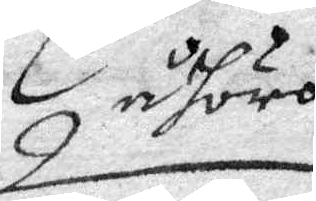åhöro
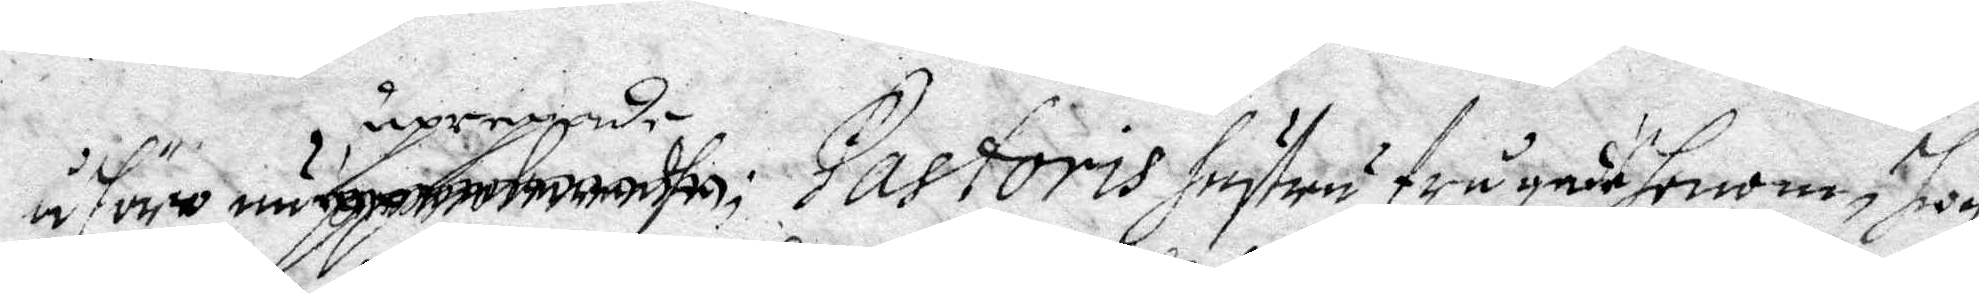åföre nu upropade Pastoris hustru frågade honom, Joy
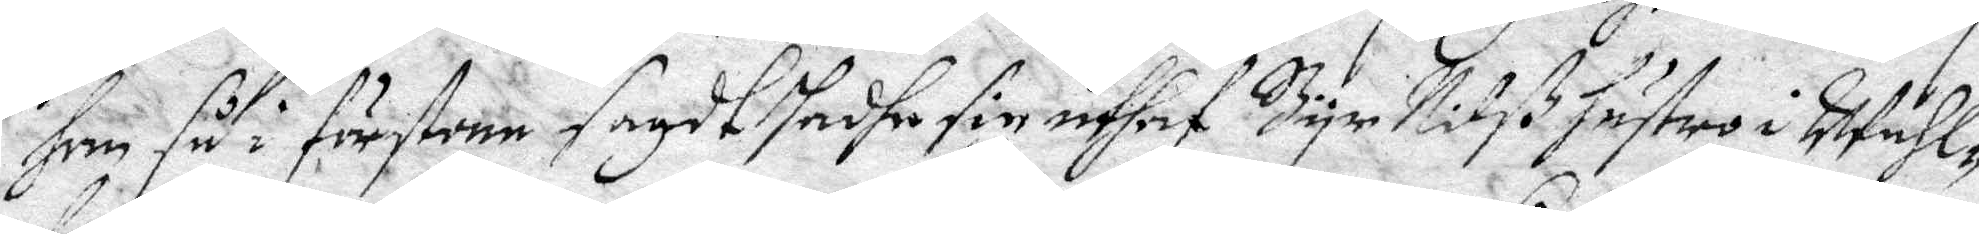han så i förstone sagdt hadhe sig uthaf Byr Nilß hustro i Wähl¬
